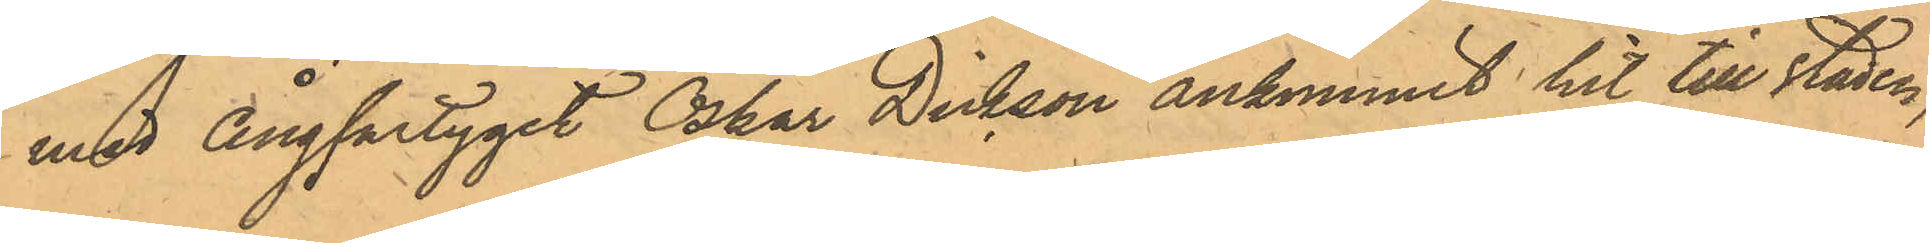med Ångfartyget Oskar Dickson ankommit hit till staden,
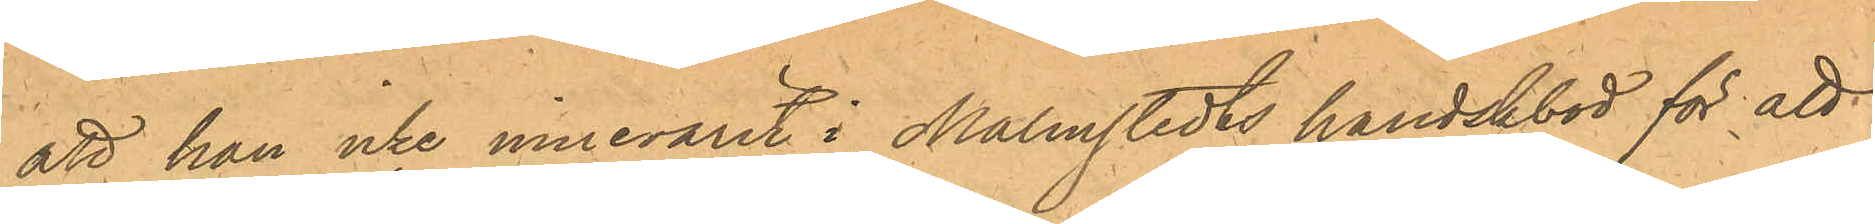att han icke innevarit i Malmstedts handskbod för att
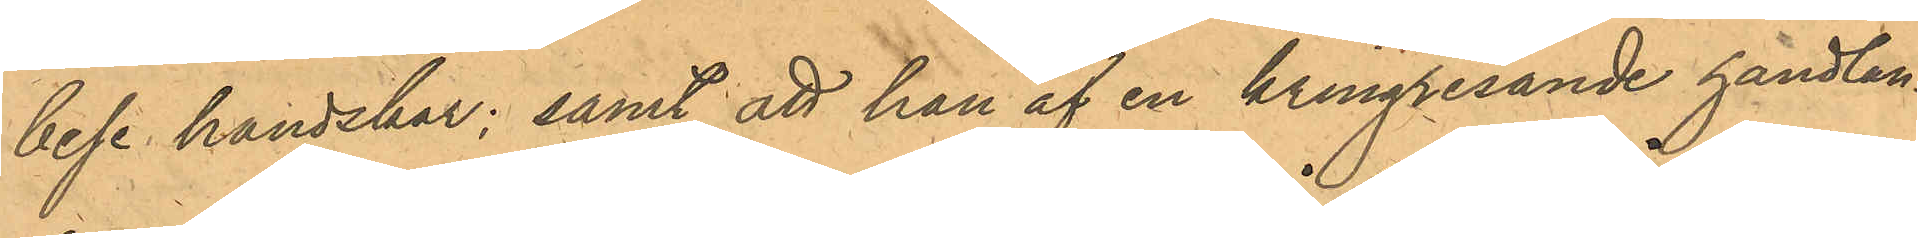bese handskar; samt att han af en kringresande handlan¬
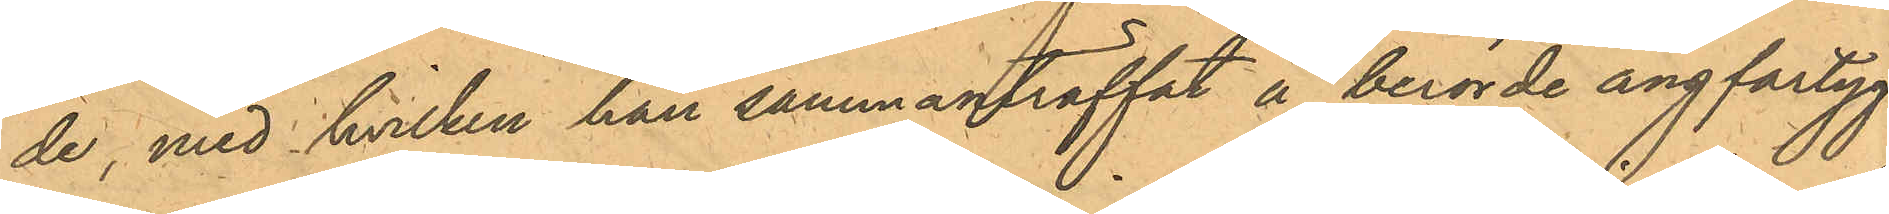de, med hvilken han sammanträffat å berörde ångfartyg,
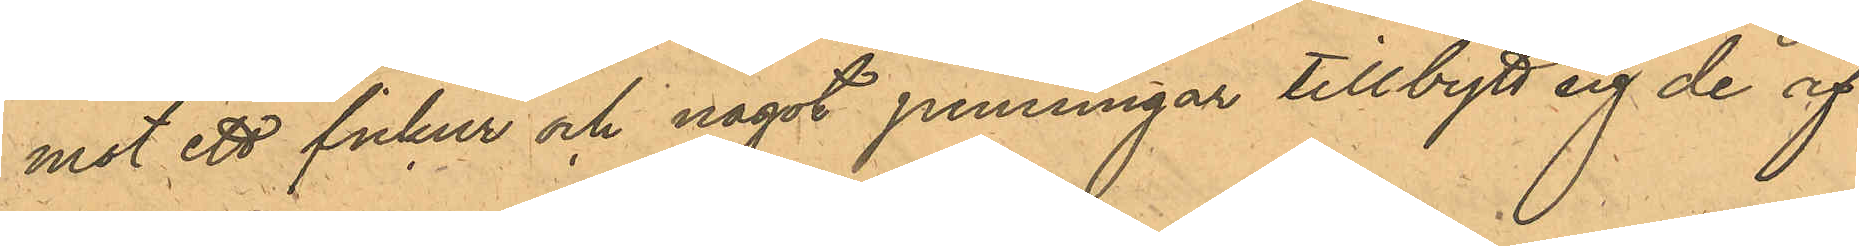mot ett fickur och något penningar tillbytt sig de af
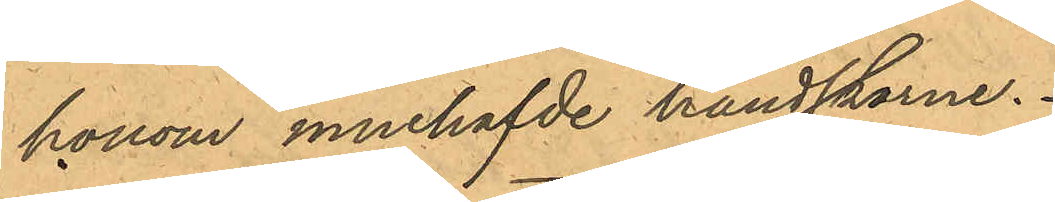honom innehafvde handskarne.
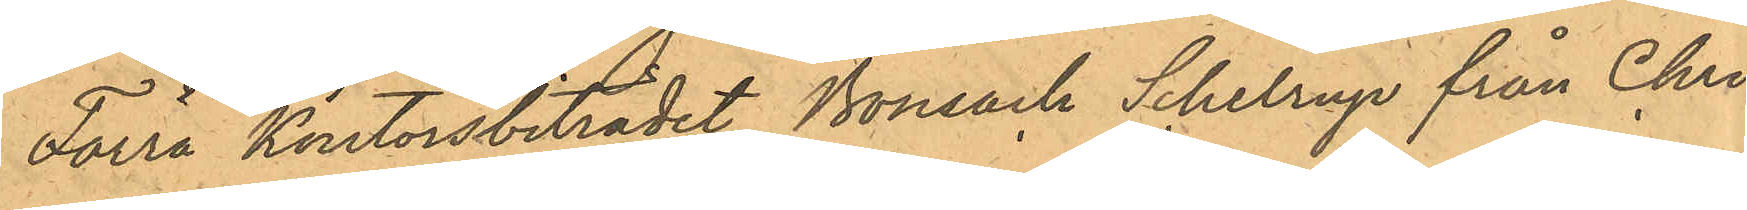Förra Kontorsbiträdet Bonsack Schelrup från Chri¬
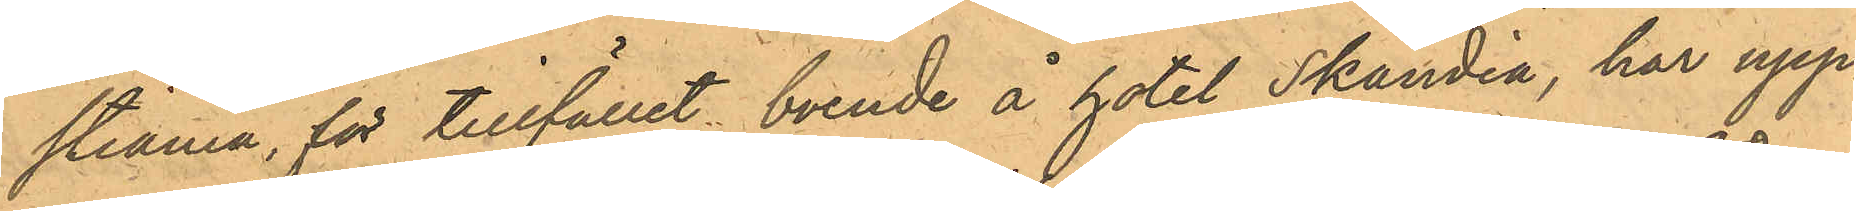stiania, för tillfället boende å hotel Skandia, har upp¬
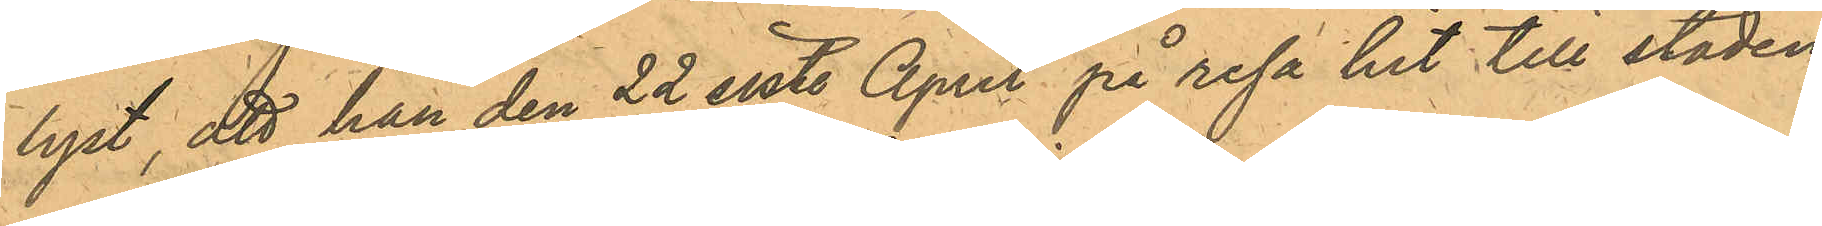lyst, att han den 22 sist. April på resa hit till staden
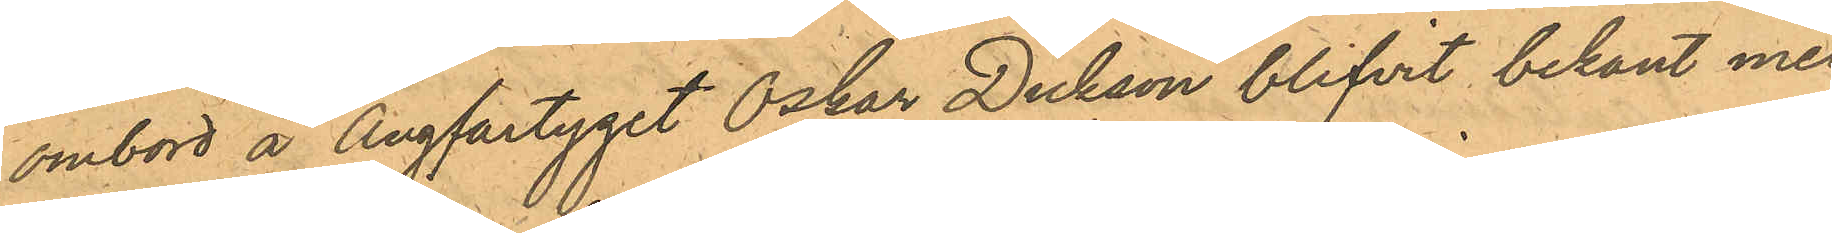ombord å Ångfartyget Oskar Dickson blifvit bekant med
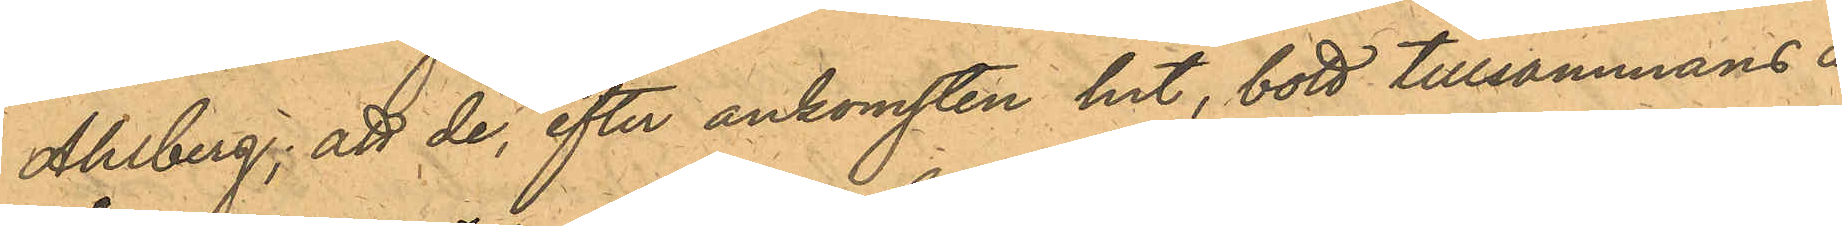Ahlberg; att de, efter ankomsten hit, bott tillsammans å
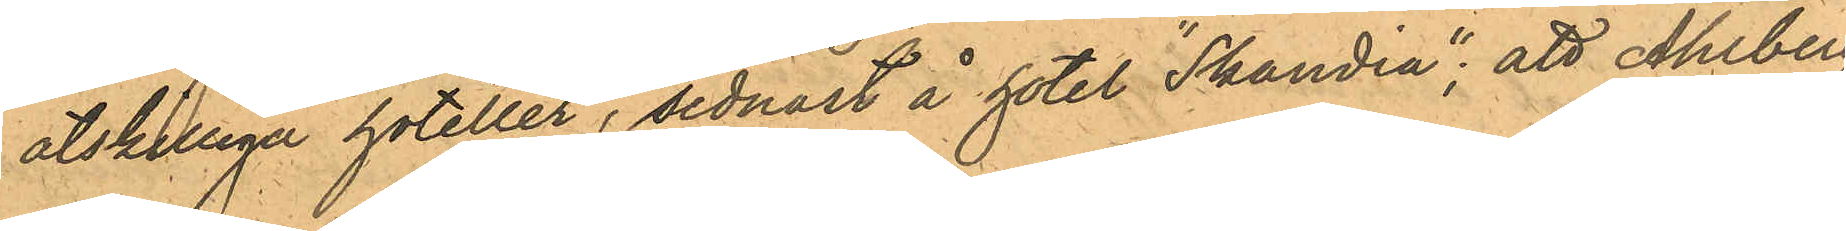åtskilliga hoteller, sednast å hotel "Skandia"; att Ahlberg
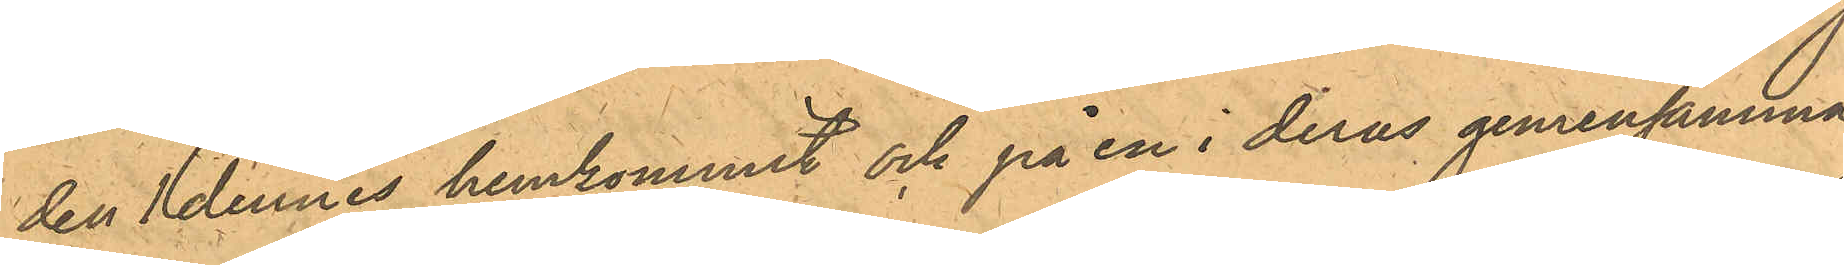den 1 dennes hemkommit och på en i deras gemensamma
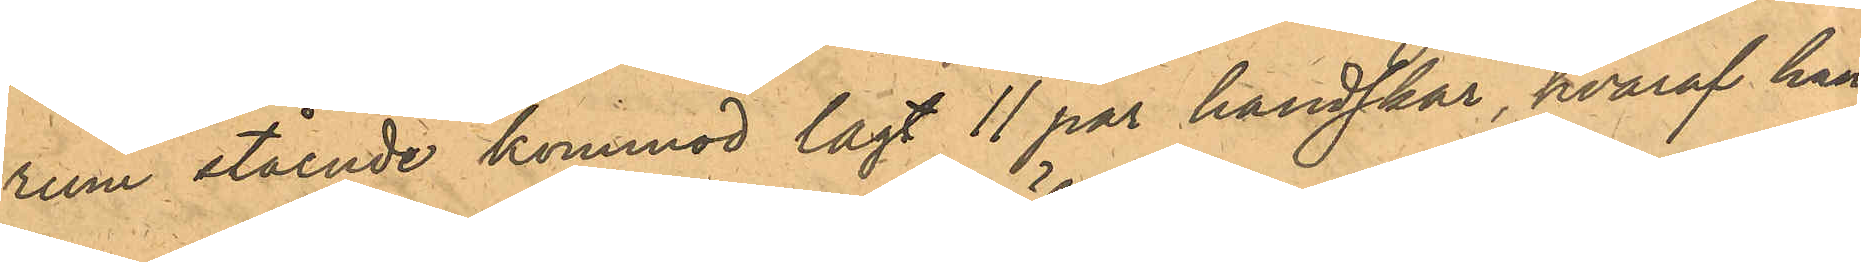rum stående kommod lagt 11 par handskar, hvaraf han
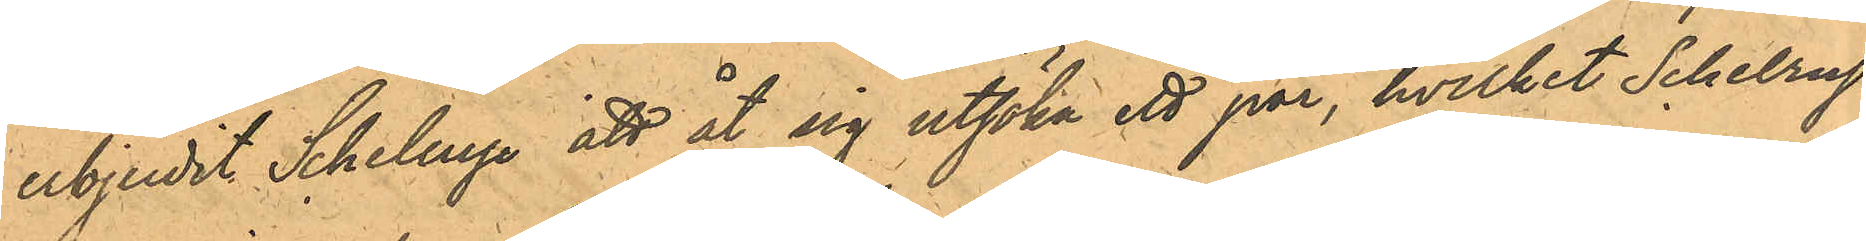erbjudit Schelrup att åt sig utsöka ett par, hvilket Schelrup
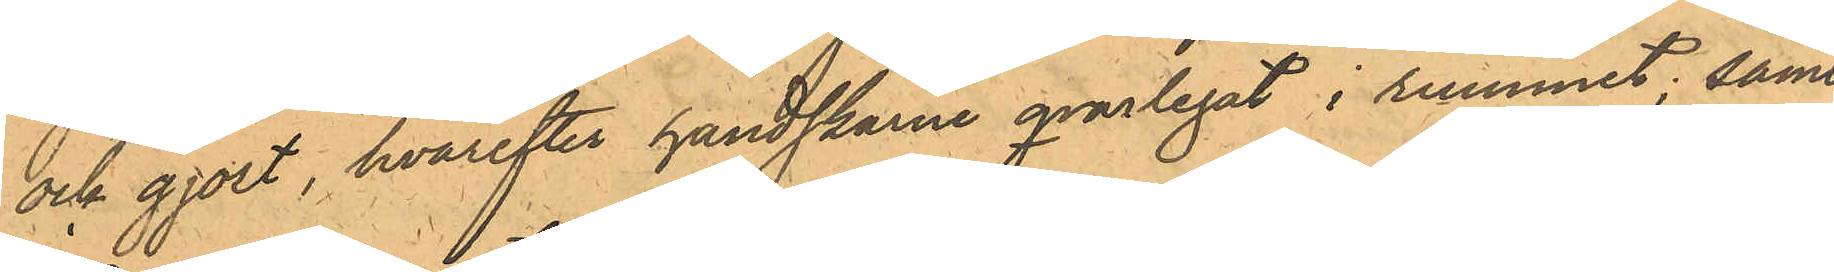ock gjort, hvarefter handskarne qvarlegat i rummet; samt
